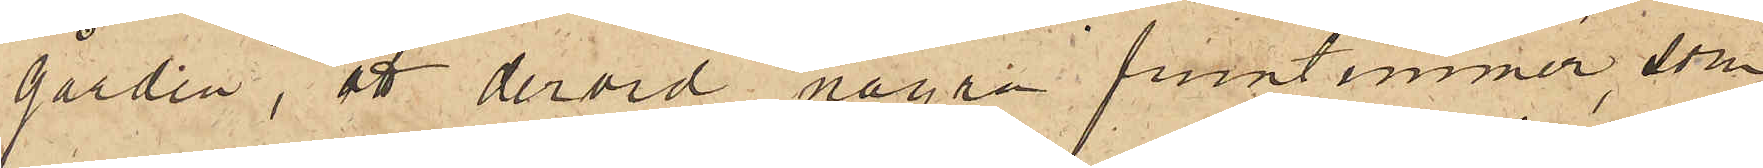gården, att dervid några fruntimmer, som
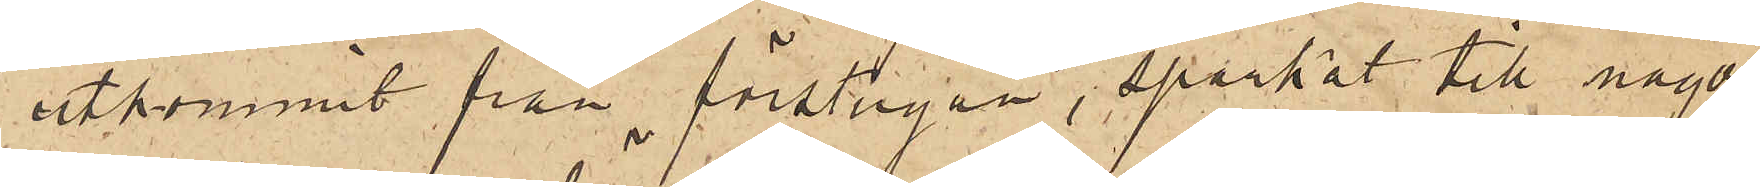utkommit från förstugan, sparkat till något
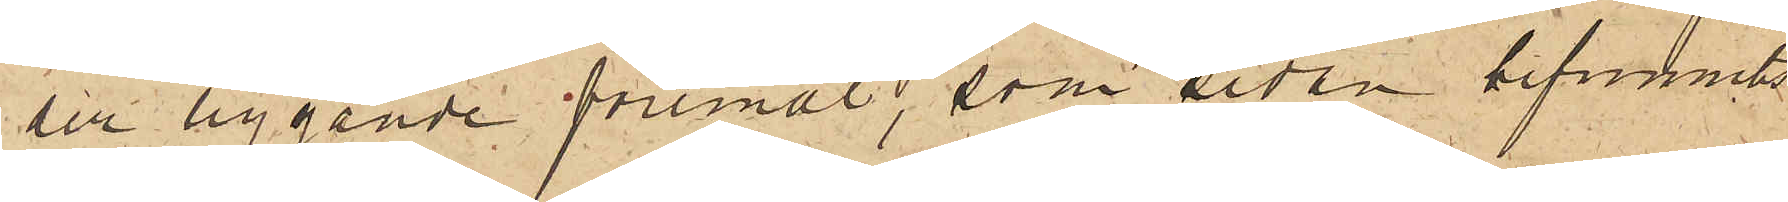der liggande föremål, som sedan befunnits
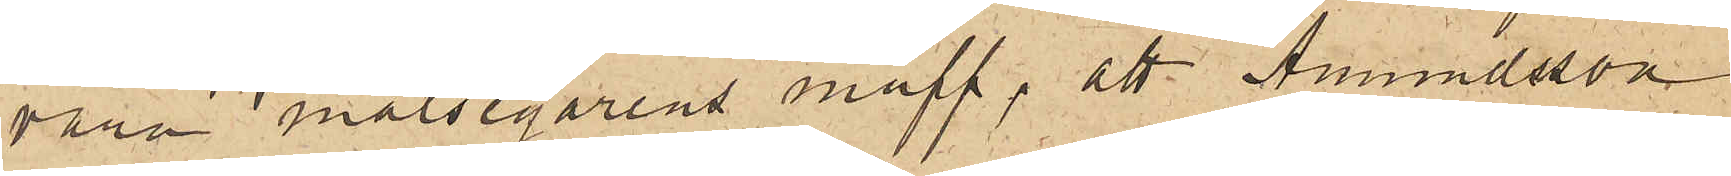vara målsegarens muff; att Amundsson
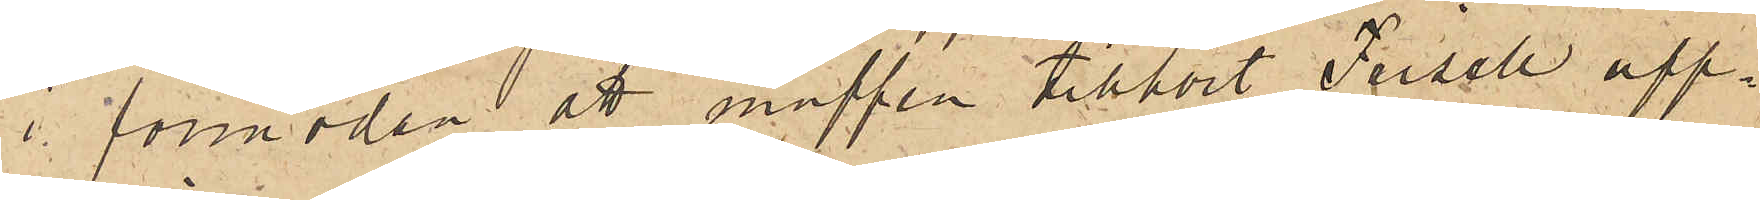i förmodan att muffen tillhört Frisell upp¬
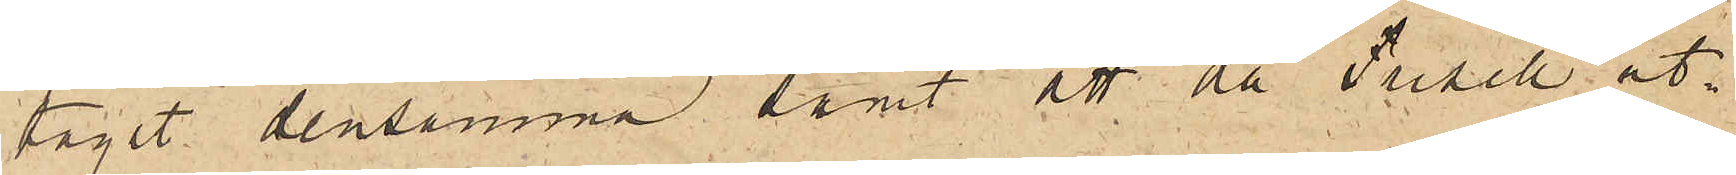tagit densamma samt att då Frisell ut¬
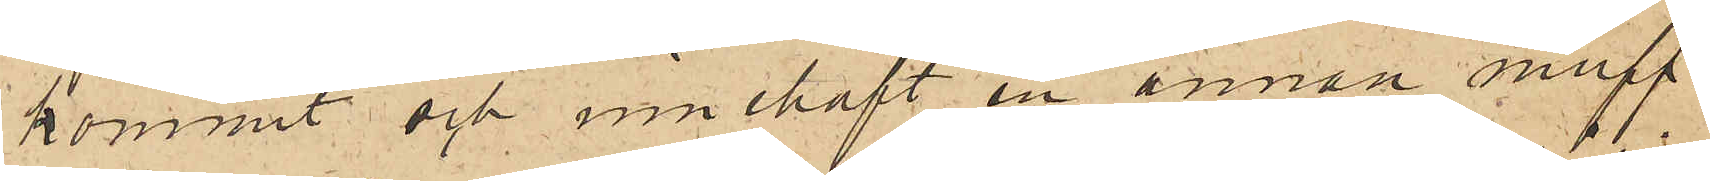kommit och innehaft en annan muff
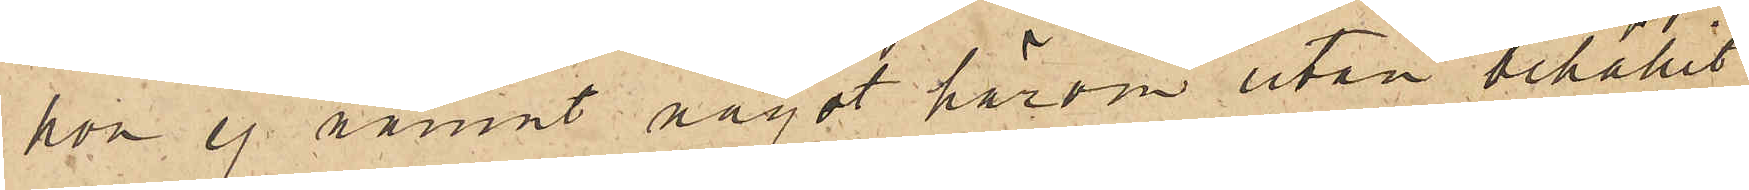hon ej nämnt något härom utan behållit
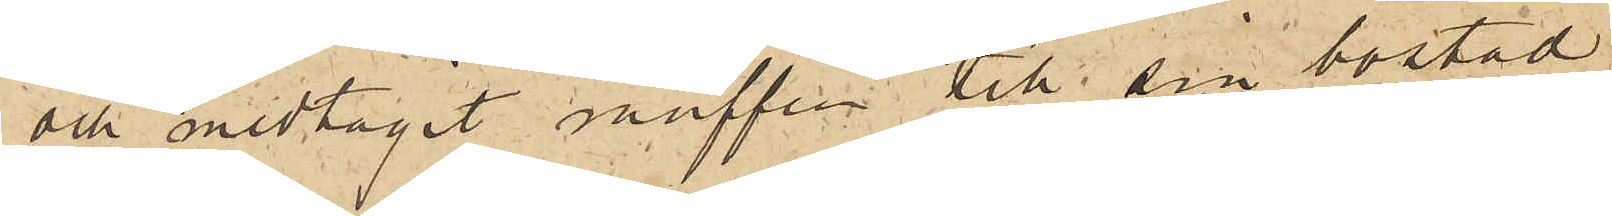och medtagit muffen till sin bostad.
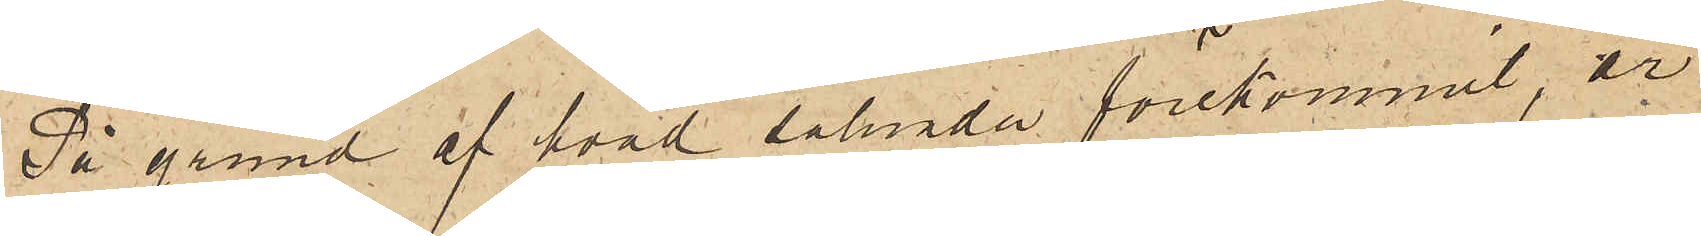På grund af hvad sålunda förekommit, är
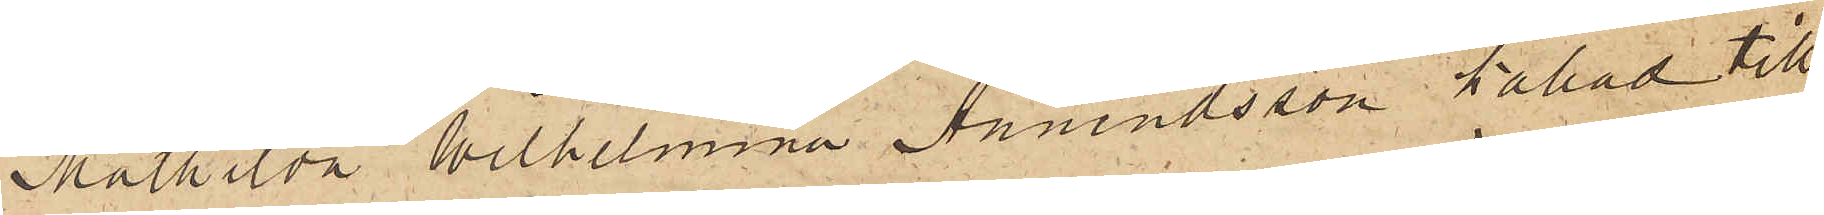Mathilda Wilhelmina Amundsson kallad till
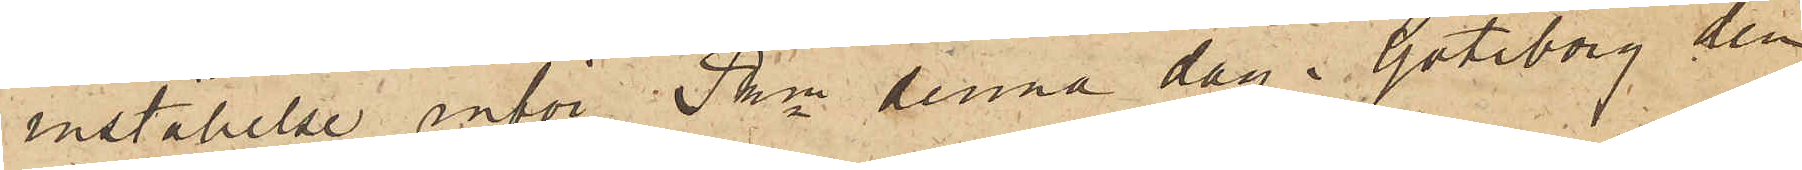inställelse inför Pkn denna dag. Göteborg den
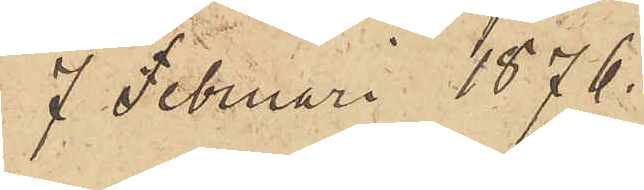7 Februari 1876.
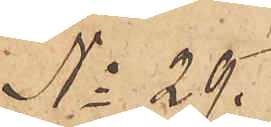No 29.
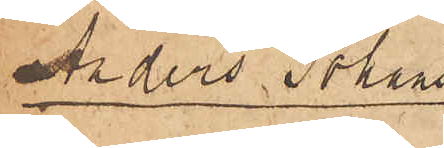Anders Johans¬
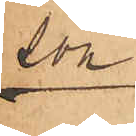son
